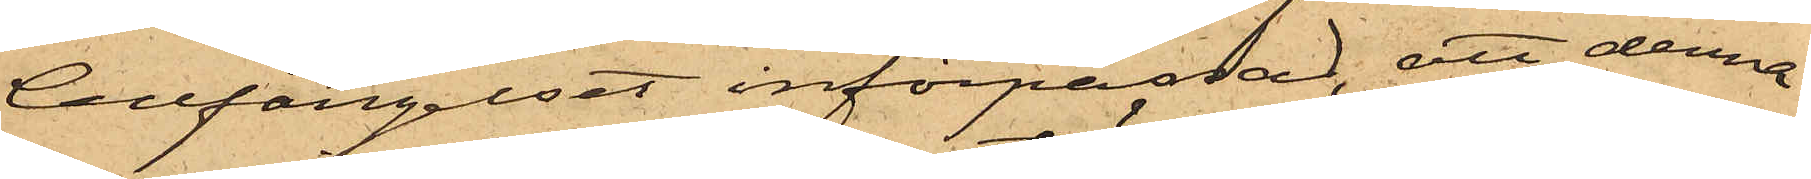Cellfängelset införpassad, att denna
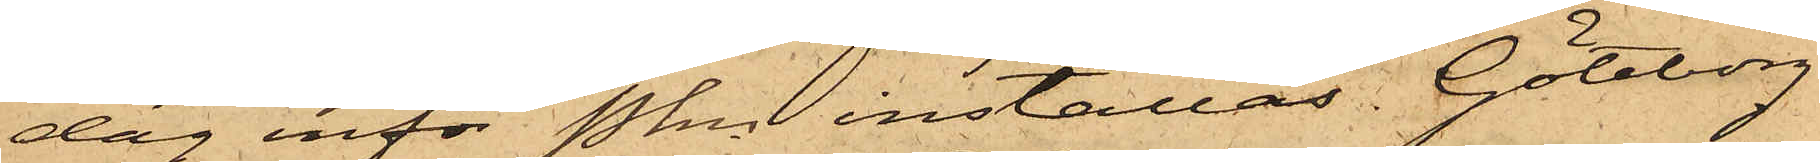dag inför Pkn inställas. Göteborg
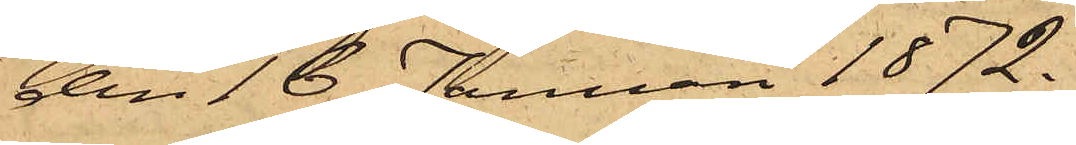den 16 Januari 1872.
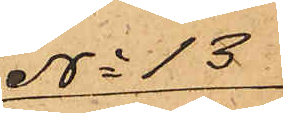No 13
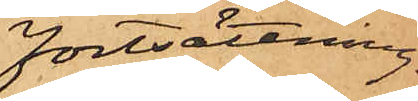fortsättning
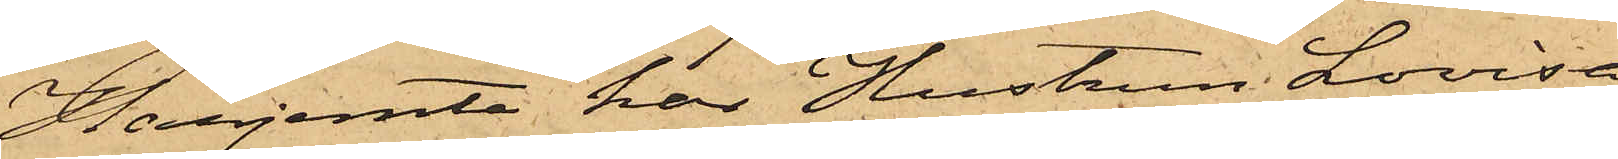Härjemte har Hustrun Lovisa
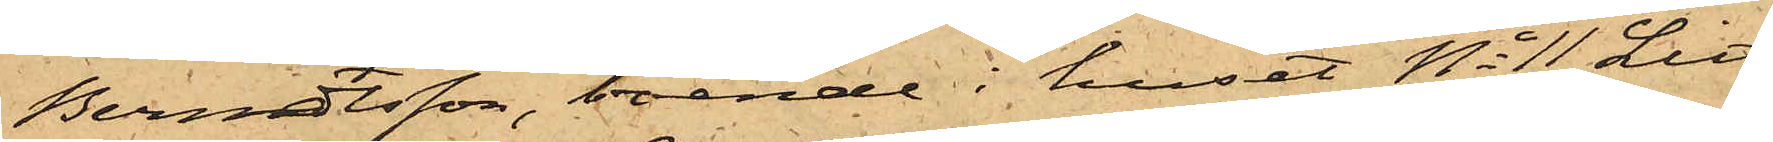Berndtsson, boende i huset No 11 Litt
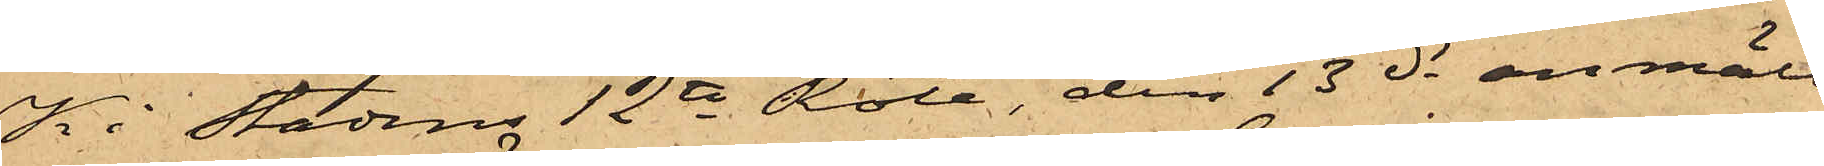K i Stadens 12te Rote, den 13 ds anmält
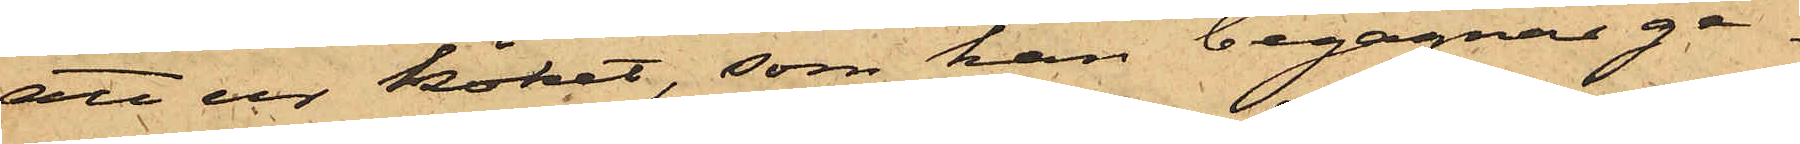att ur köket, som hon begagnar ge¬
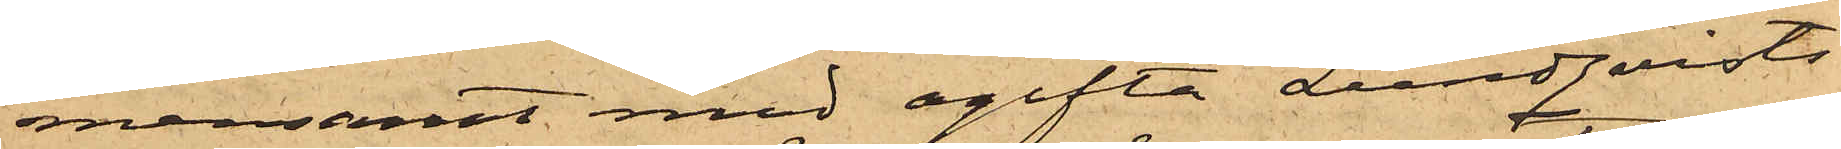mensamt med ogifta Lundquists
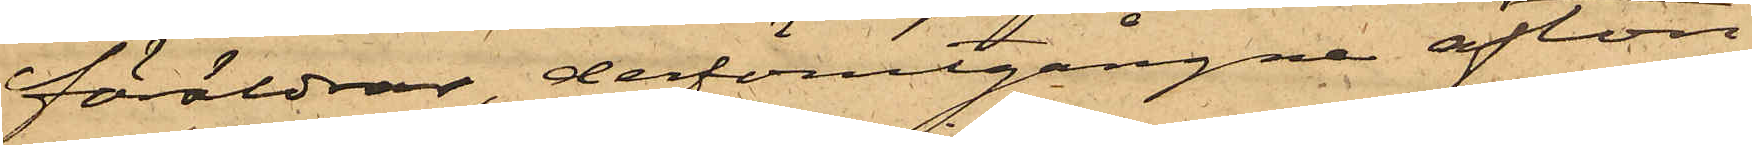föräldrar, derförutgångne afton
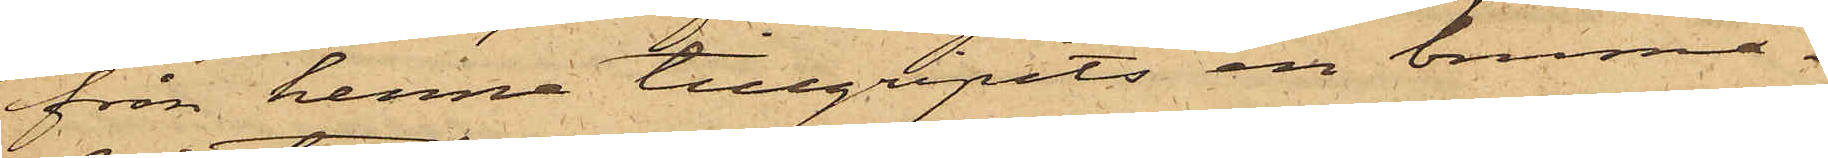från henne tillgripits en brunmå¬
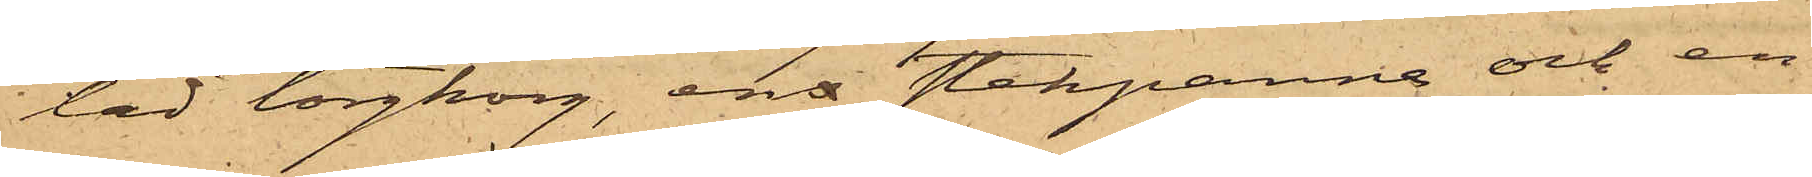lad torgkorg, ens stekpanna och en
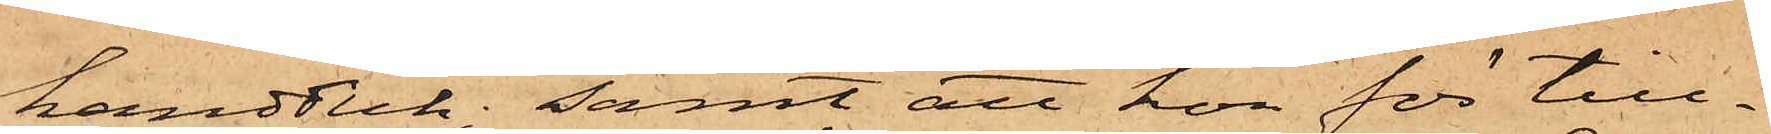handduk; samt att hon för till¬
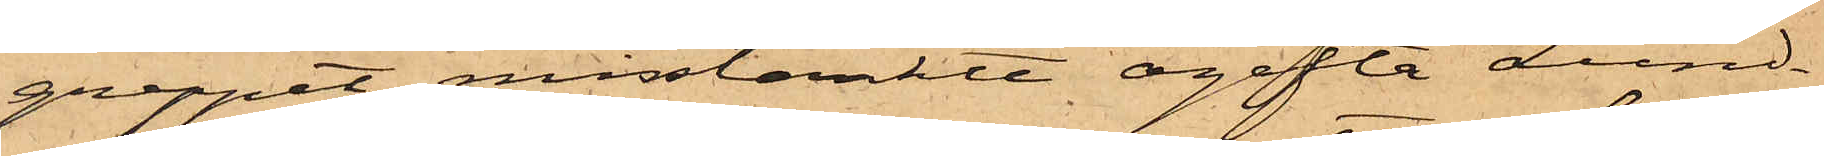greppet misstänkte ogifta Lund¬
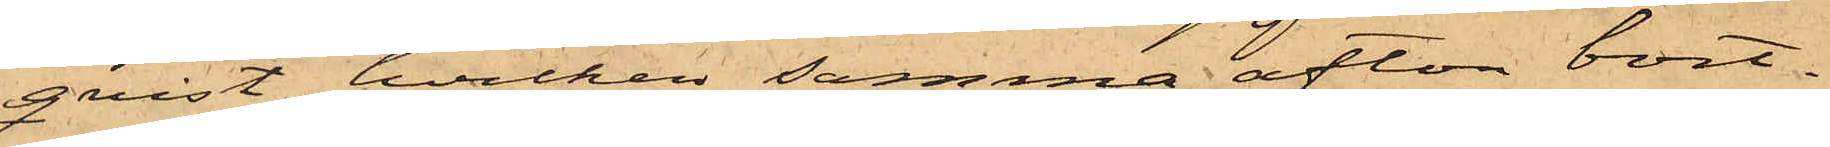qvist, hvilken samma afton bort¬
